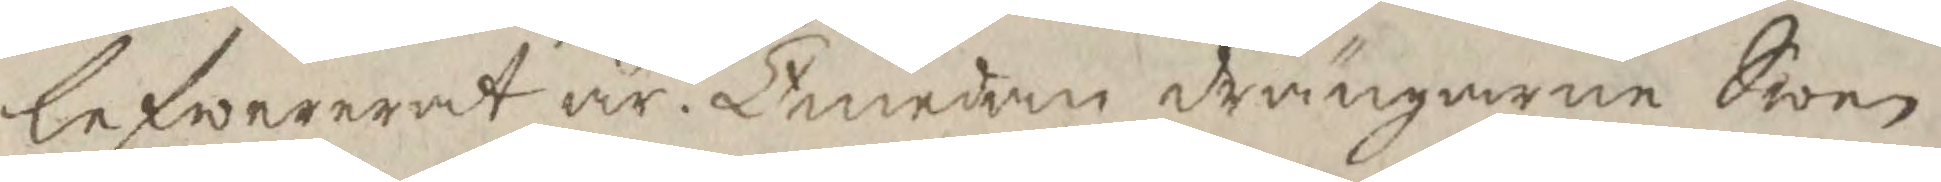lefererat är. Emedan drängarne Swen
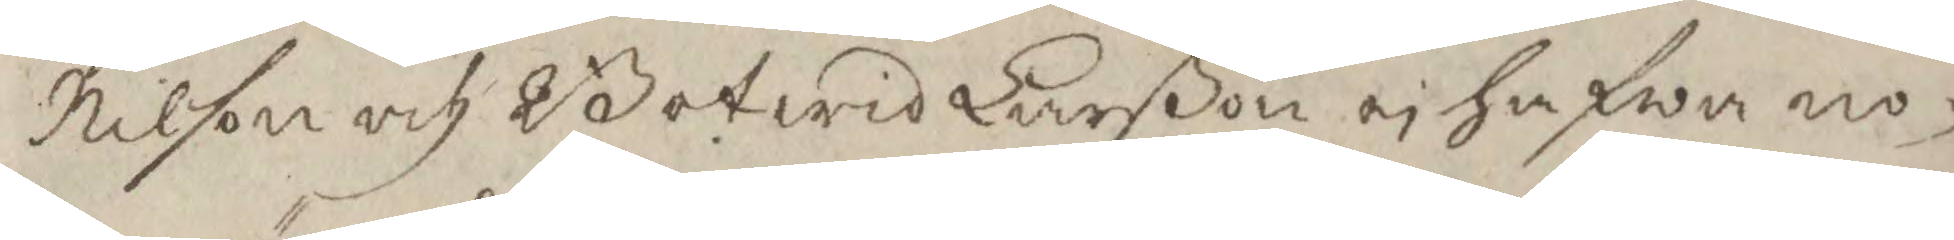Nilson och Botwid Larßon ei hafwa no¬
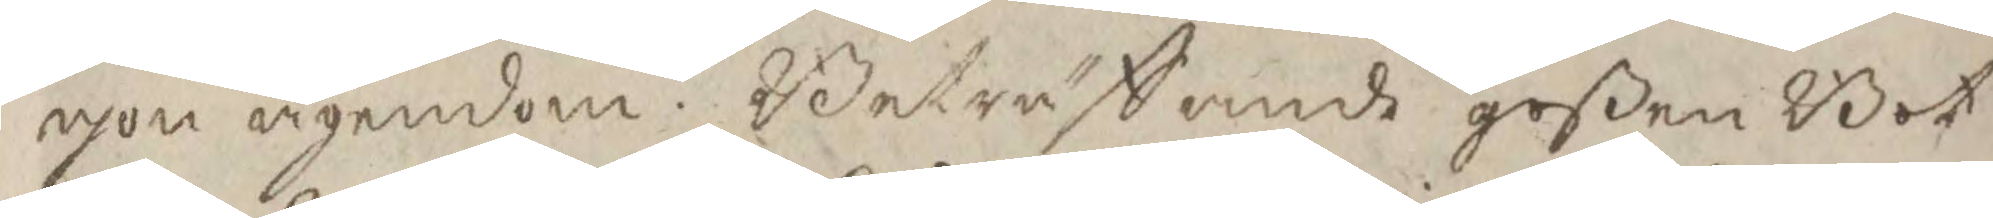gon ägendom. Beträffande goßen Bot¬
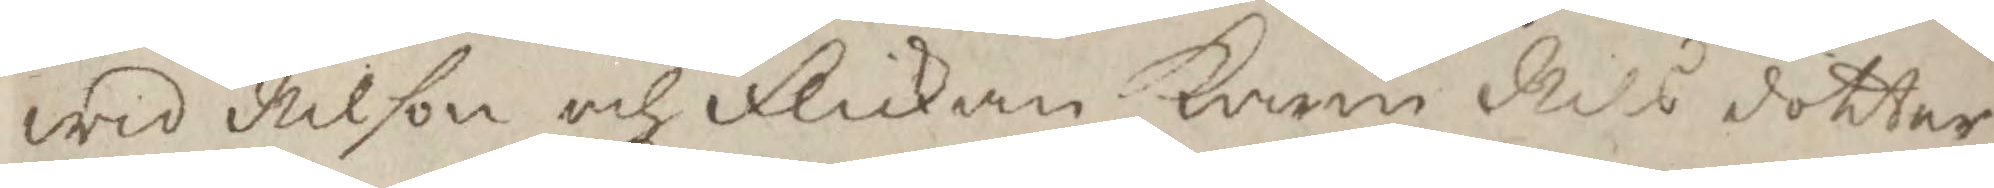wid Nilson och flickan Karin Nilsdotter
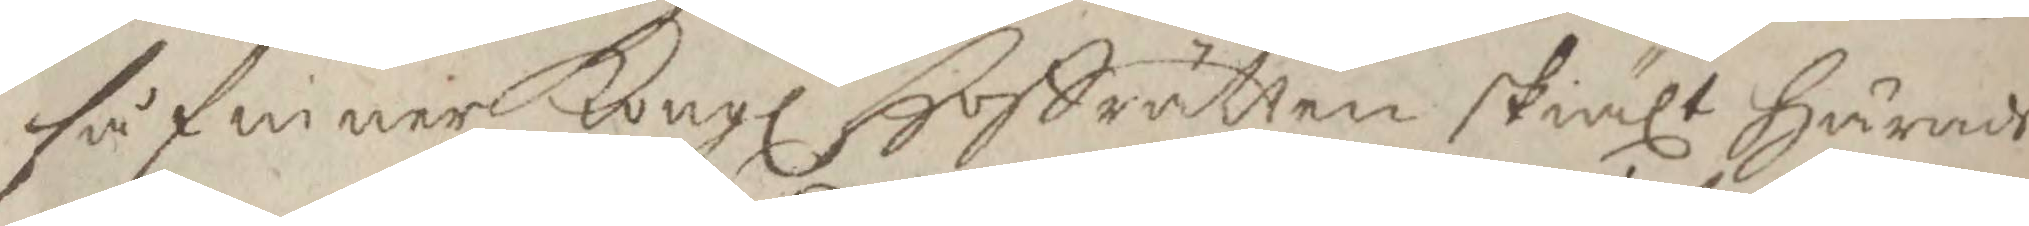så finner Kongl Hoffrätten skiält härads
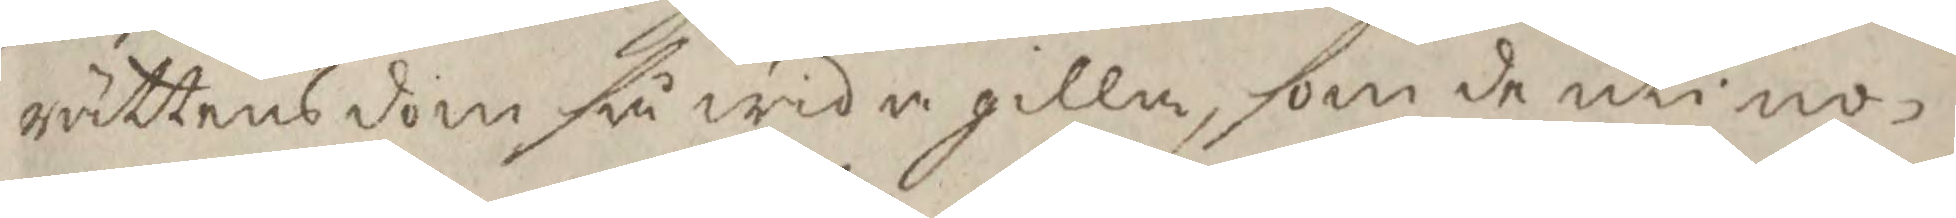rättens dom så wida gilla, som de uti no¬
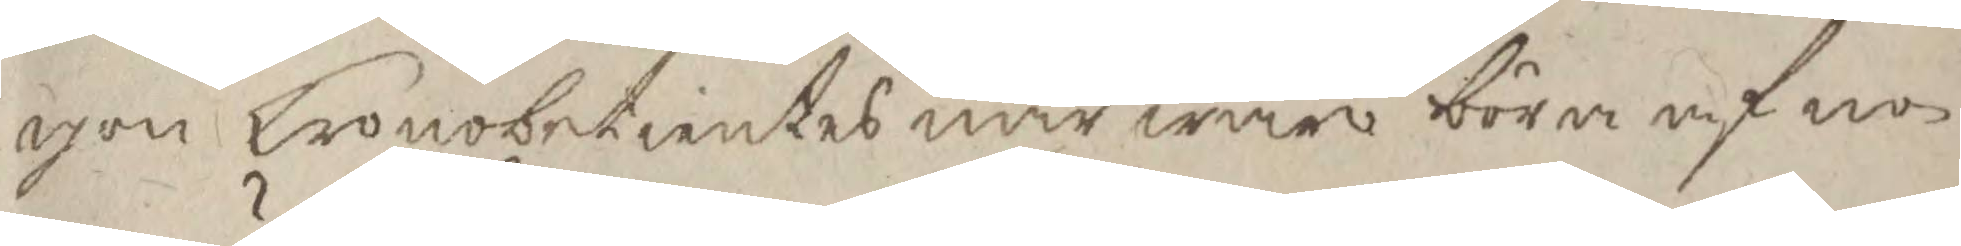gon Kronobetientes närwaro böra af no¬
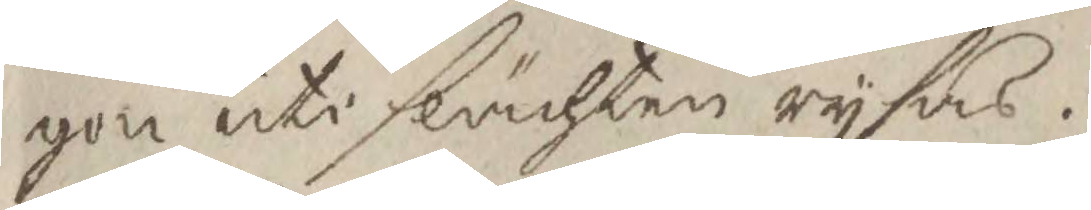gon uti slächten rysas.
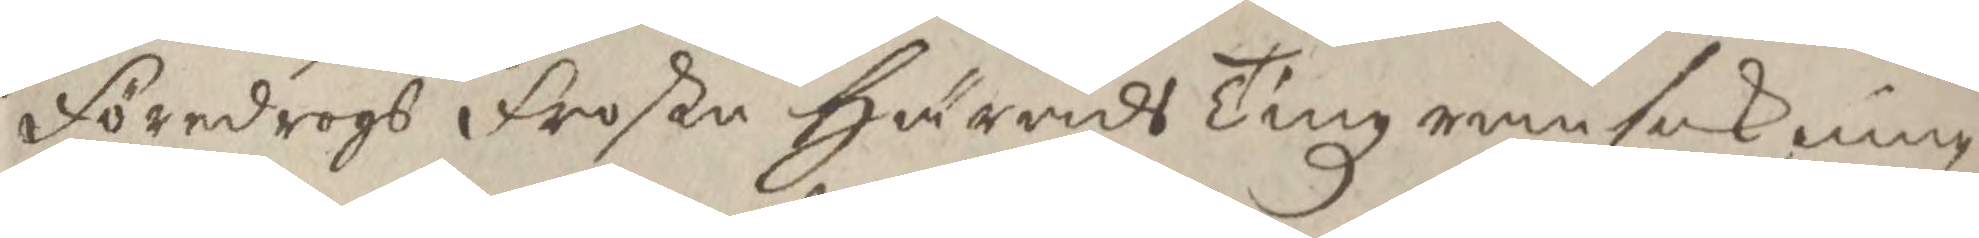föredrogs froste häradsaTingz ransakning
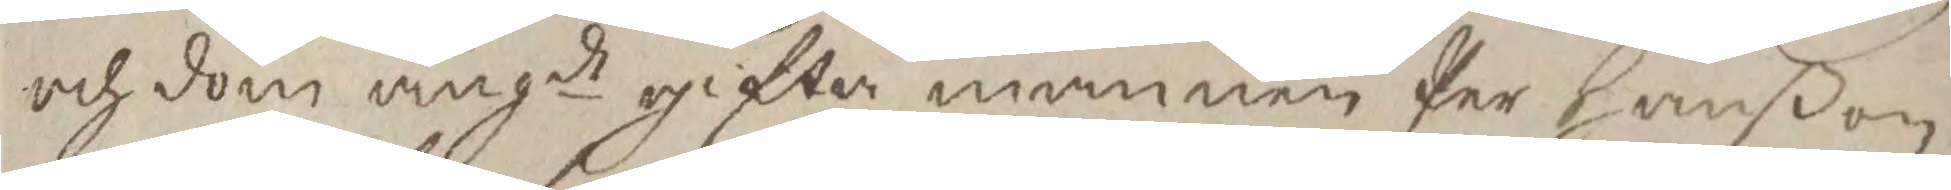och dom angde gifta mannen Per Hanßon
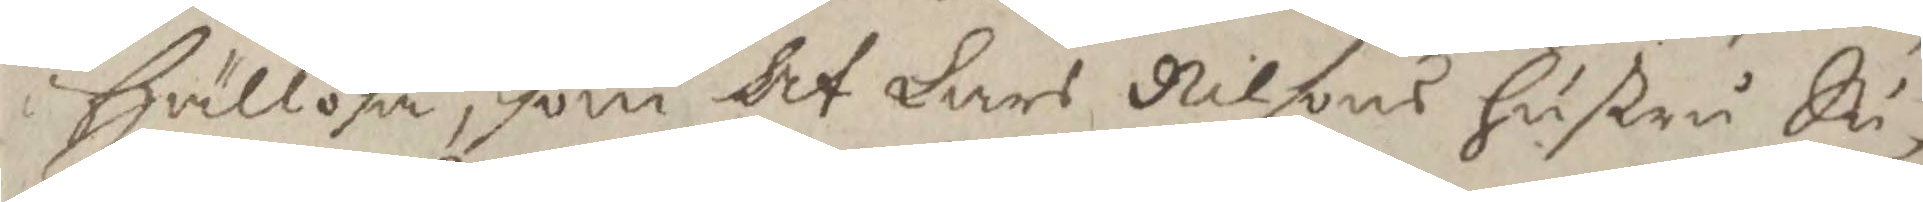i Hällösa, som Af Lars Nilsons hustru Su¬
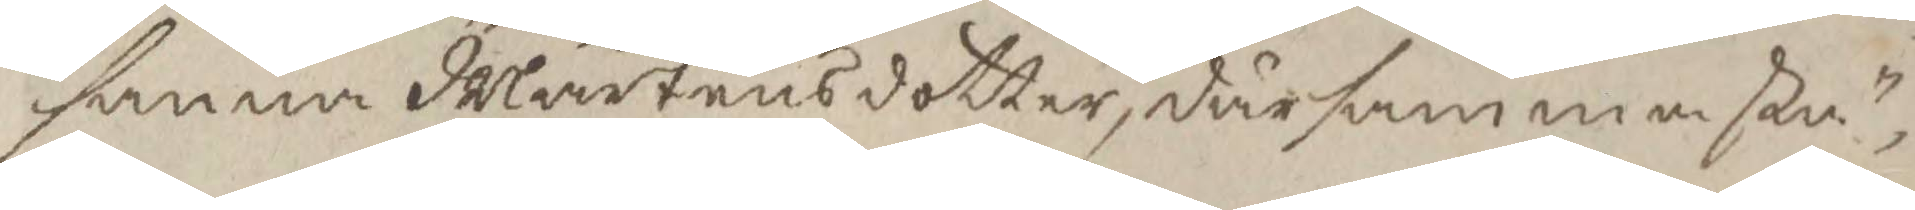sanna Mårtensdotter, därsammastä¬
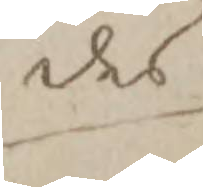des
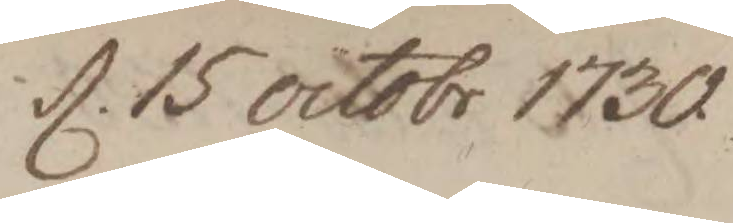d. 15 octobr 1730
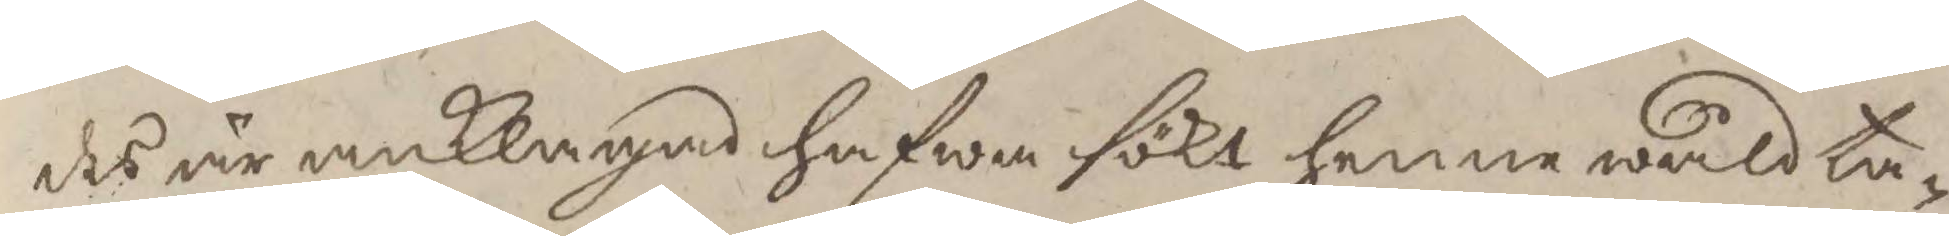des är anklagad hafwa sökt henne wåldta¬
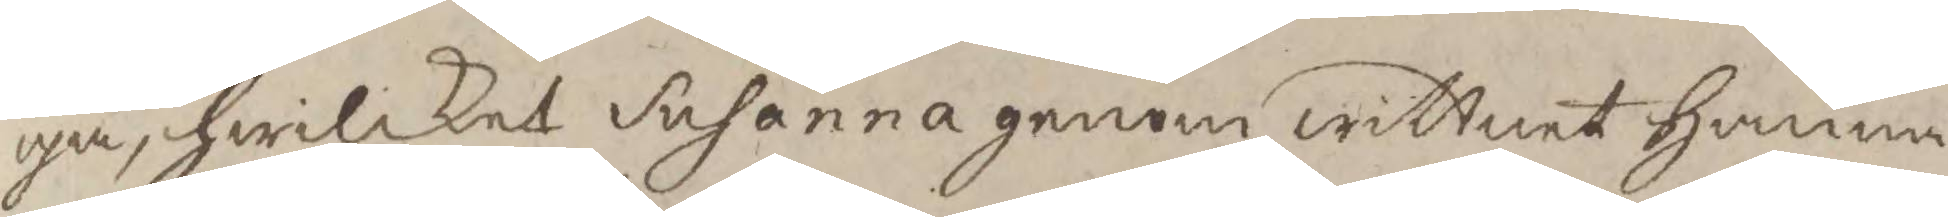ga, hwilket Susanna genom wittnet Hanna
